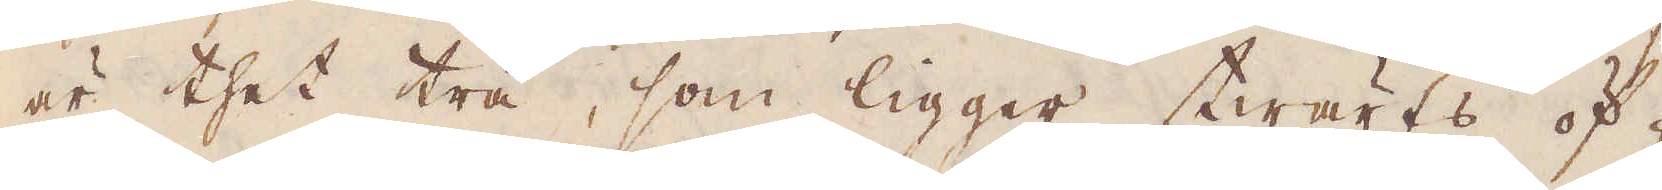är thet trä, som ligger twärts öf-
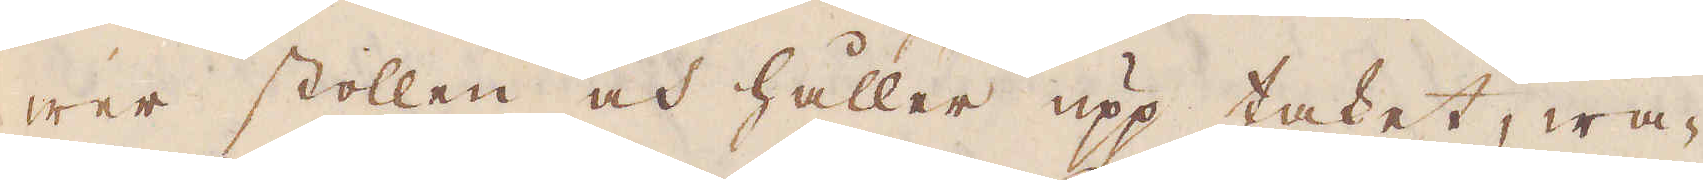wer stollen och håller upp taket, wa-
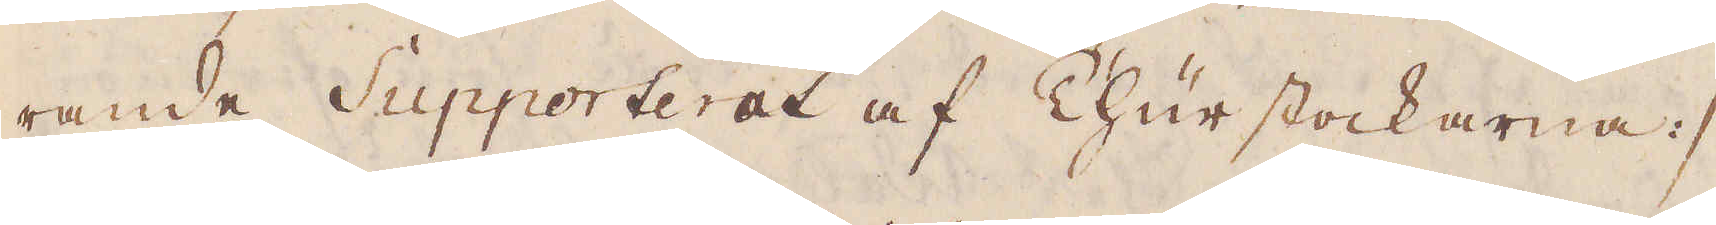rande Supporterat af Churstockarna :/
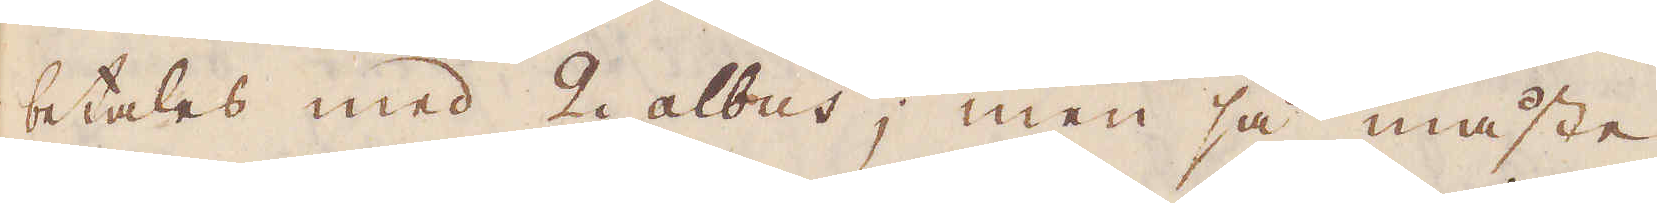betales med 2 albus; men så måste
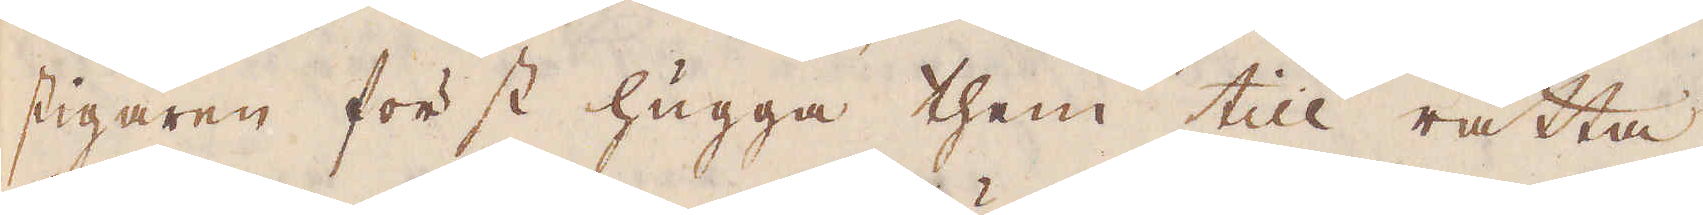stigaren först hugga them till rätta.
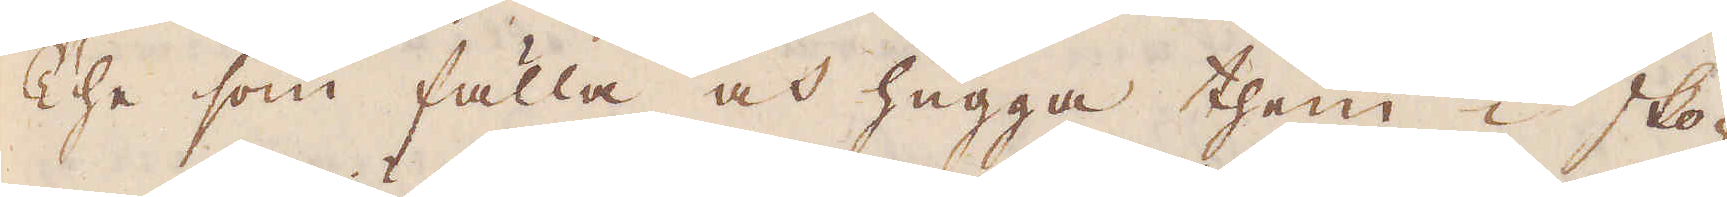The som fälla och hugga them i sko-
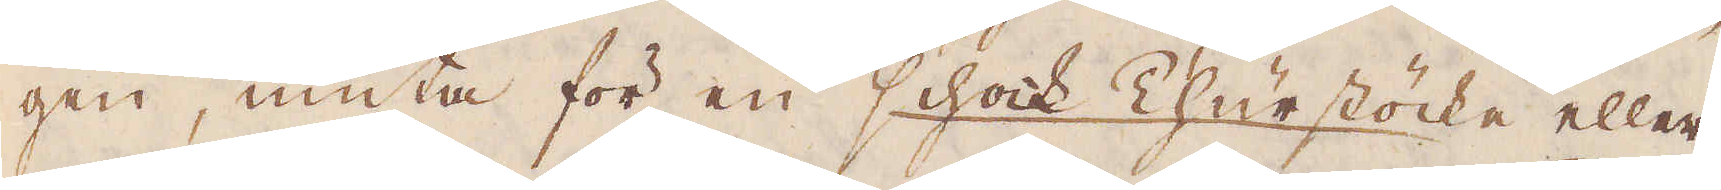gen, niuta för en schock Churstöcke eller
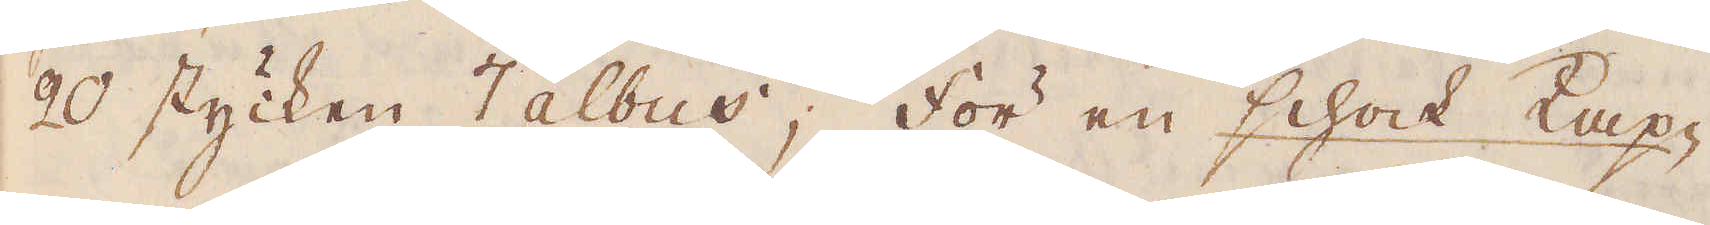20 stycken 7 albus; för en schock Kap-
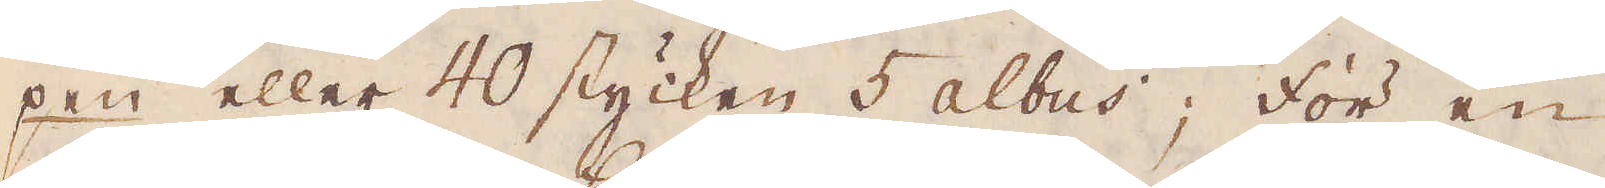pen eller 40 stycken 5 albus; för en
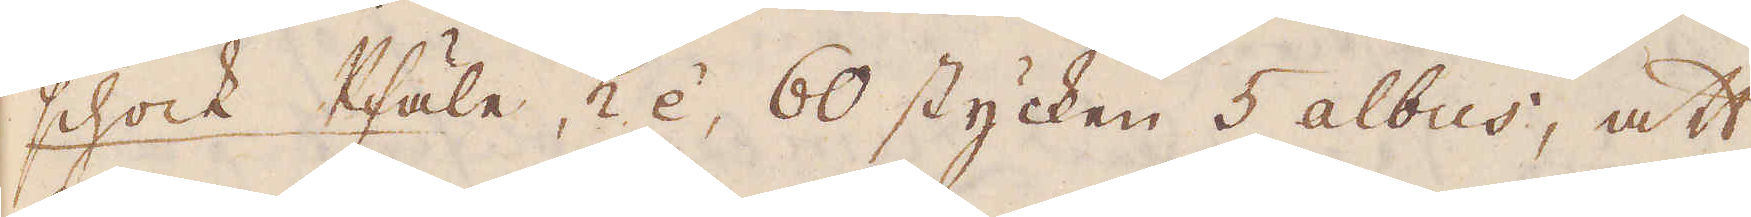schock Pfäle, hè, 60 stycken 5 albus, att
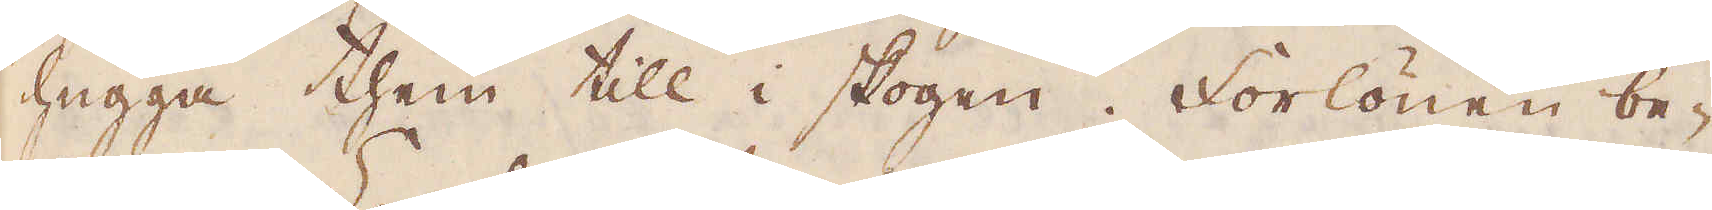hugga them till i skogen. Forlönen be-
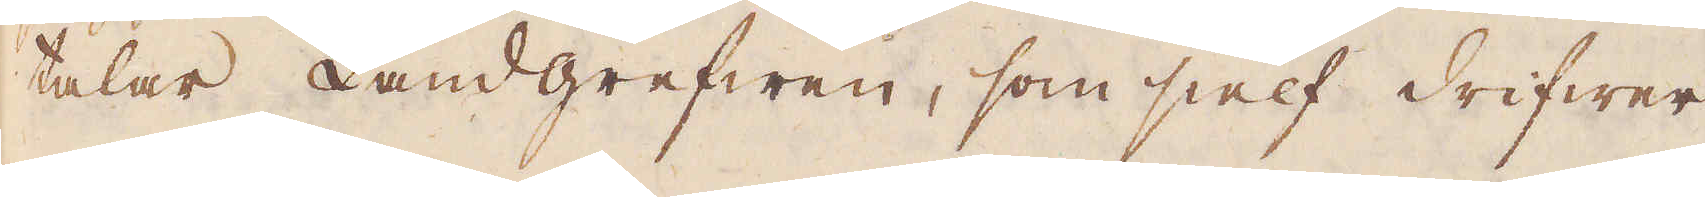talar Landgrefwen, som sielf drifwer
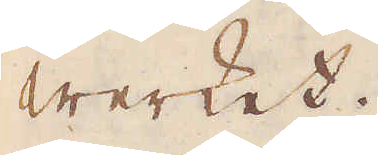Werket.
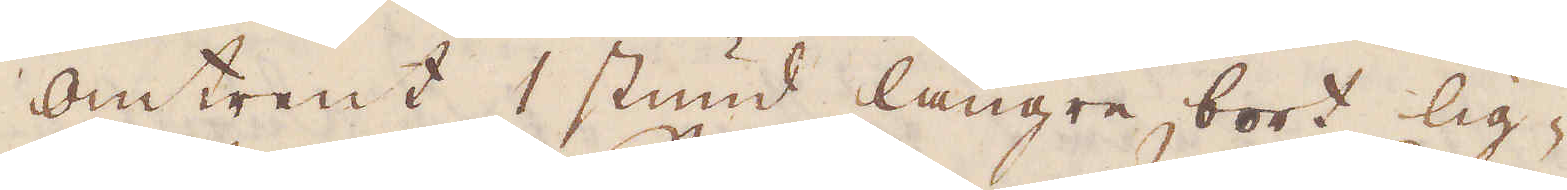Omtrent 1 stund längre bort lig-
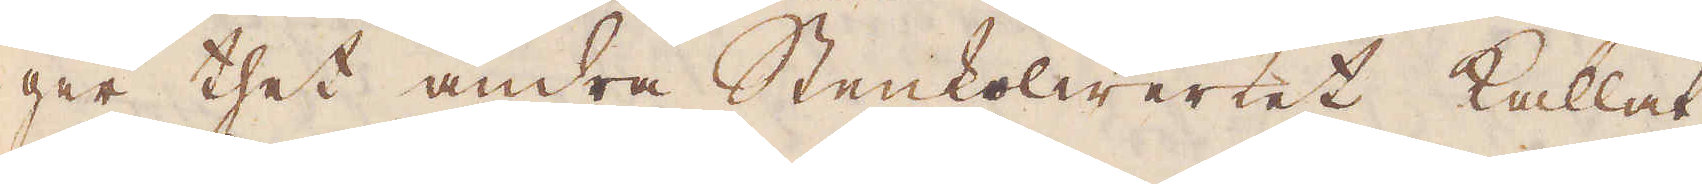ger thet andra Stenkolwerket kallat
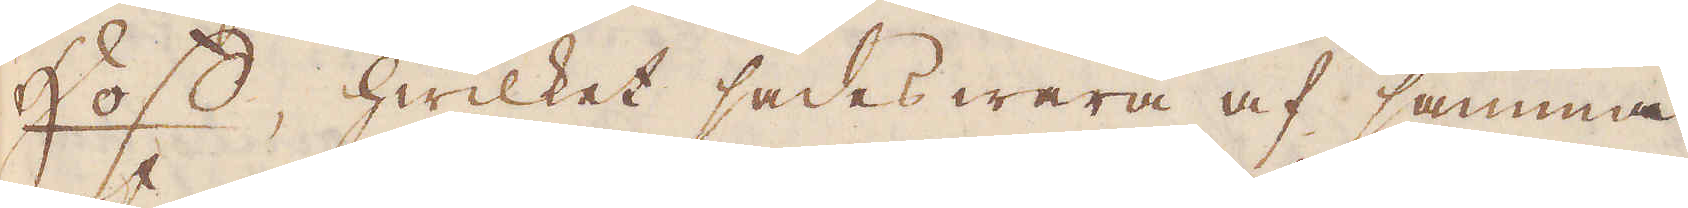Hoff, hwilket sades wara af samma
